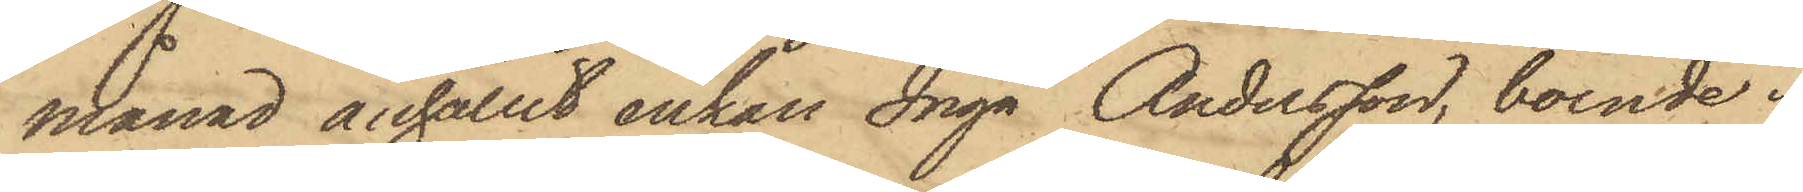månad anhållit enkan Inga Andersson, boende i
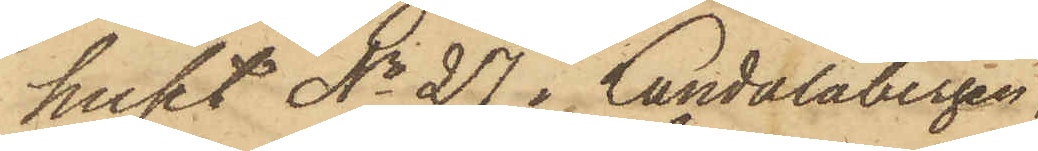huset No 27 i Landalabergen,
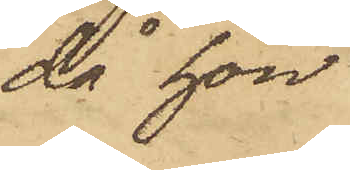då hon
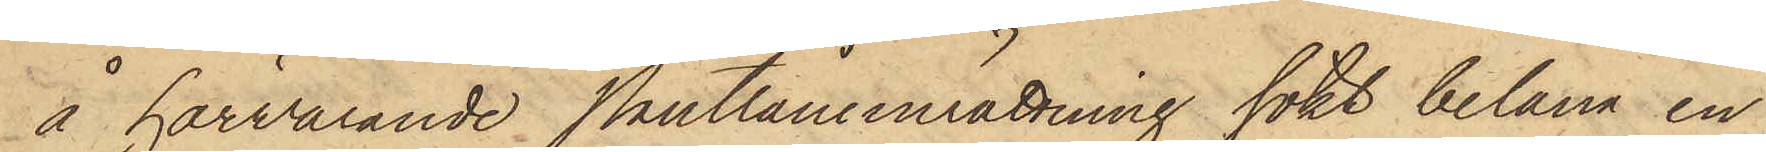å härvarande Pantlåneinrättning sökt belåna en
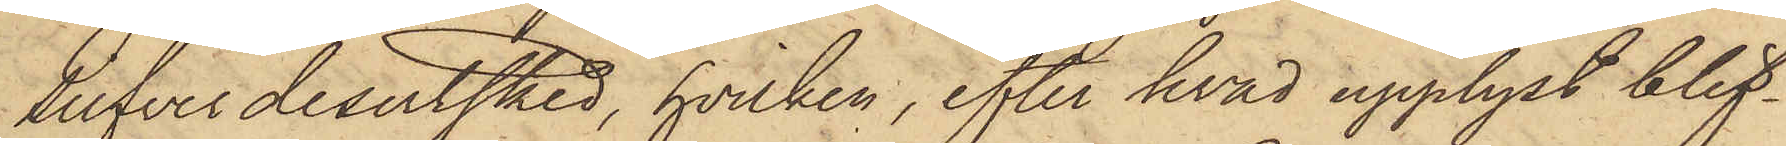silfverdesertsked, hvilken, efter hvad upplyst blif¬
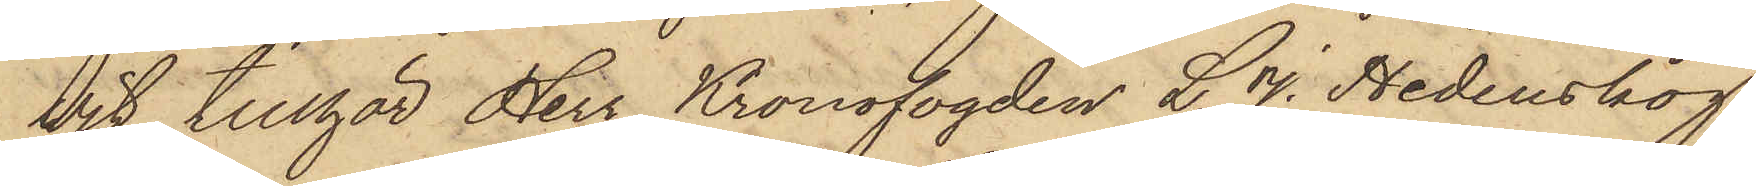vit, tillhör Herr Kronofogden L. J. Hedenskog,
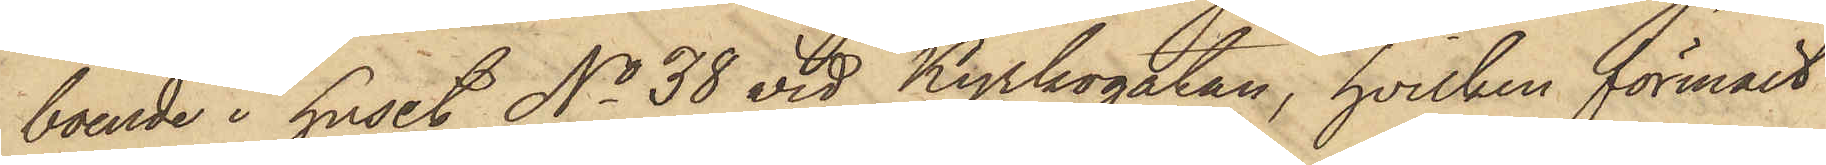boende i huset No 38 vid Kyrkogatan, hvilken förmält
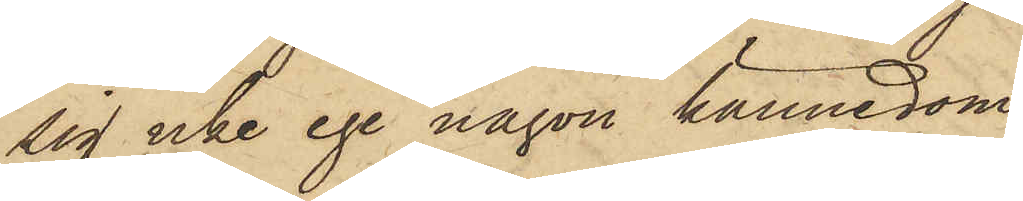sig icke ega någon kännedom
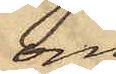om
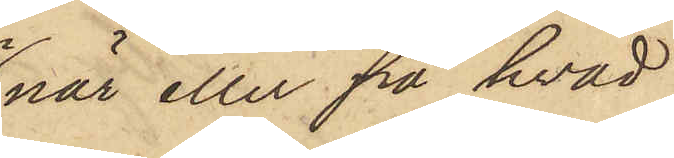när eller på hvad
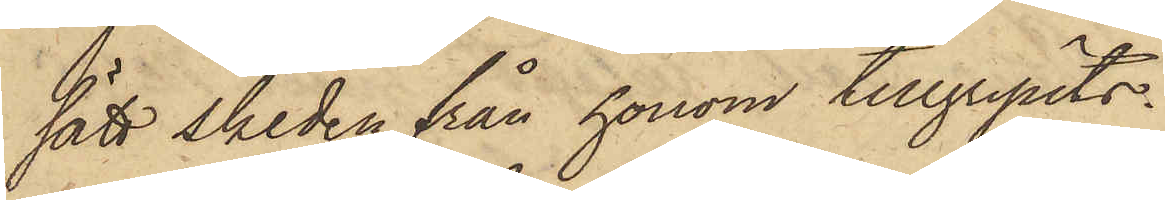sätt skeden från honom tillgripits.
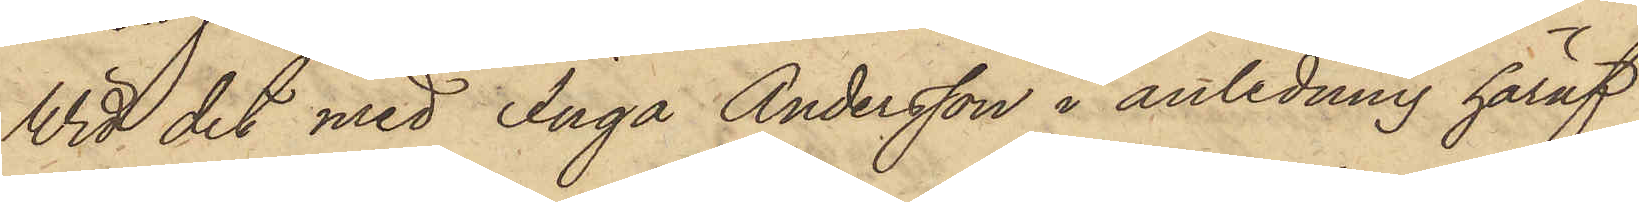Wid det med Inga Andersson i anledning häraf
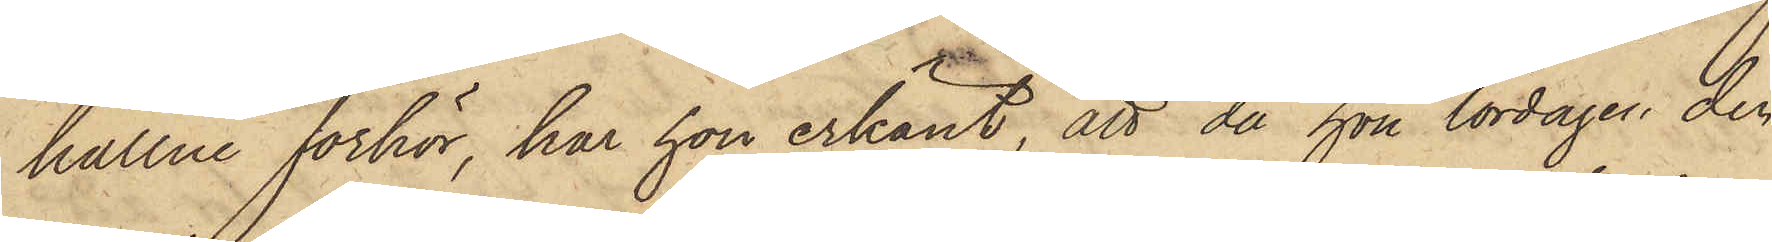hållne förhör, har hon erkänt, att då hon lördagen den
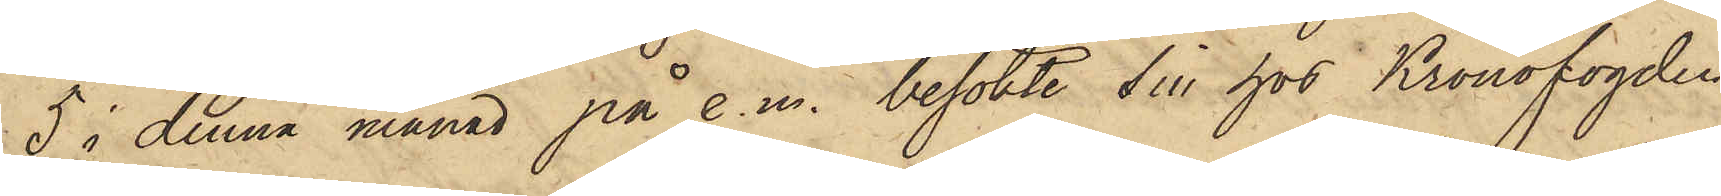5 i denna månad på e.m. besökte sin hos Kronofogden
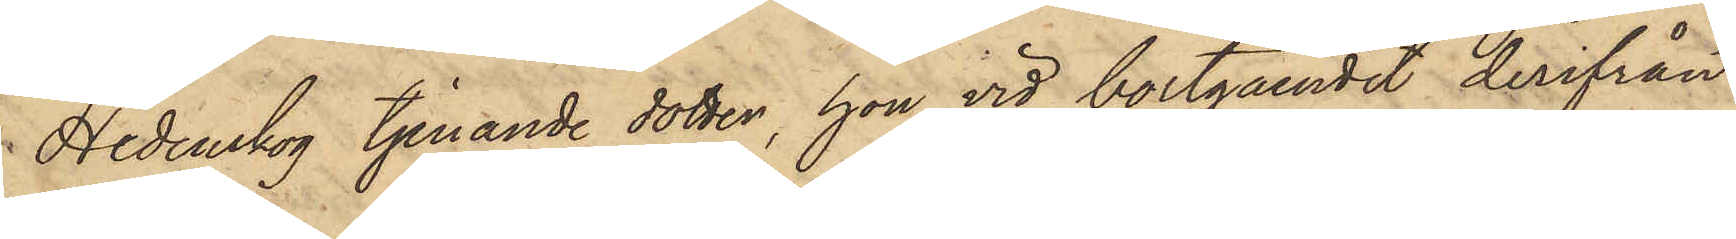Hedenskog tjenande dotter, hon vid bortgåendet derifrån
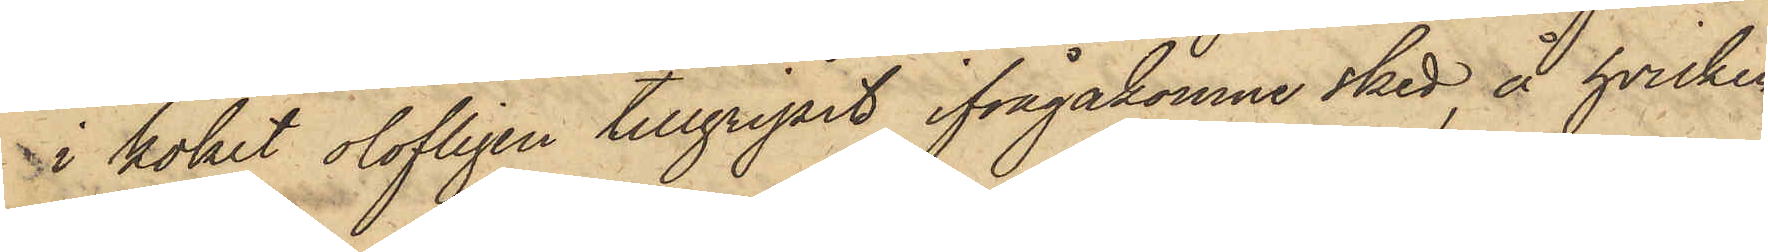i köket olofligen tillgripit ifrågakomne sked, å hvilken
